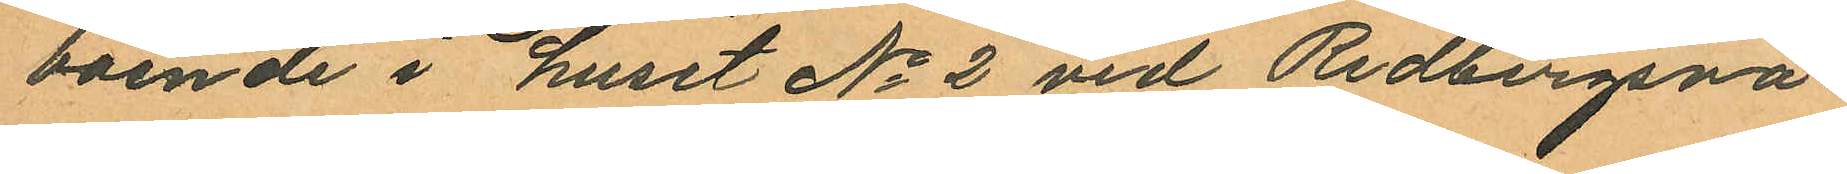boende i huset No 2 vid Redbergsvä¬
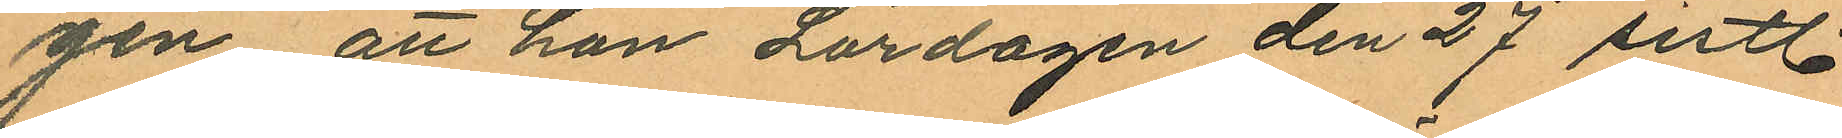gen att hon Lördagen den 27 sistl.
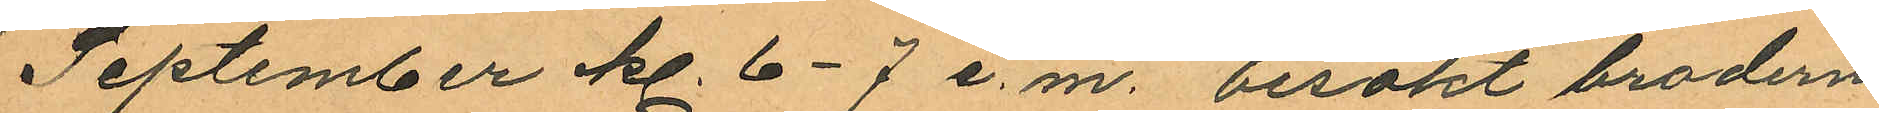September kl. 6-7 e. m. besökt brodern
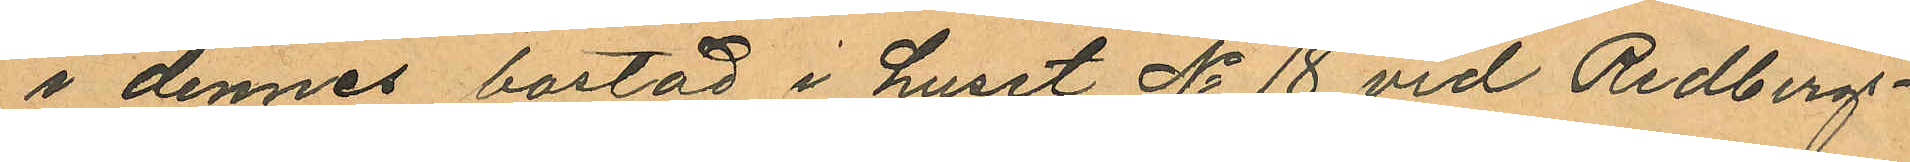i dennes bostad i huset No 18 vid Redbergs¬
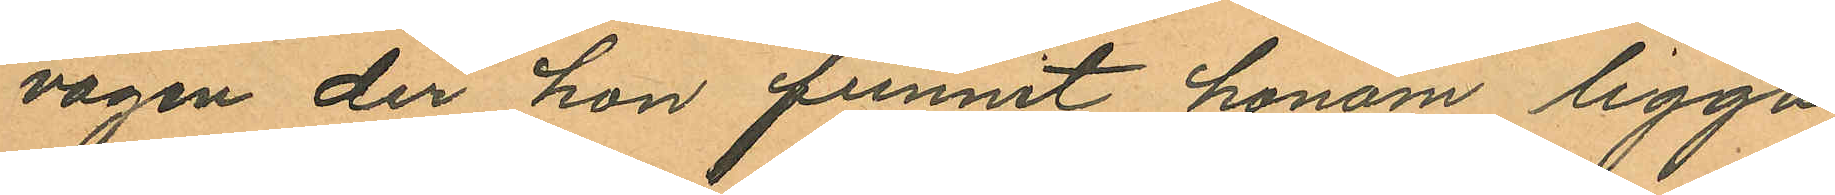vägen der hon funnit honom ligga
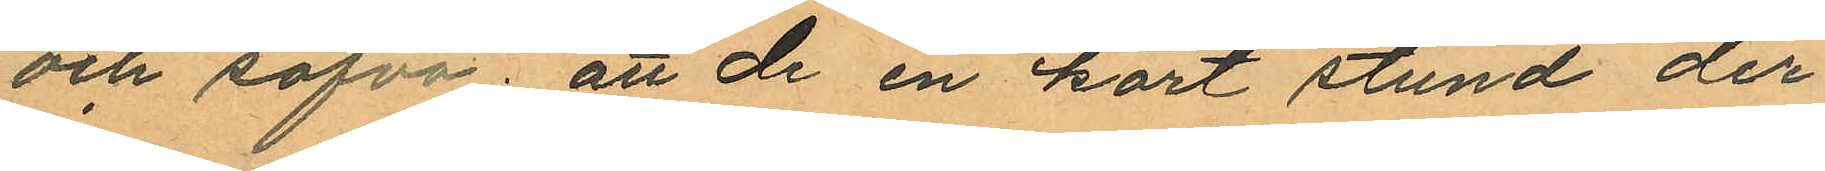och sofva; att de en kort stund der¬
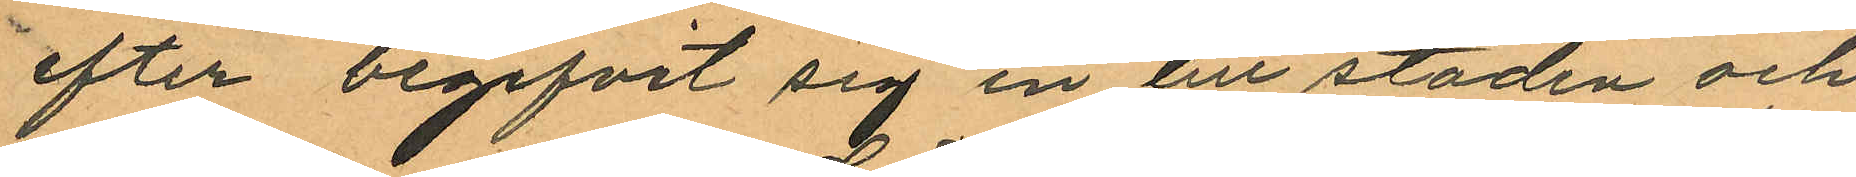efter begifvit sig in till staden och
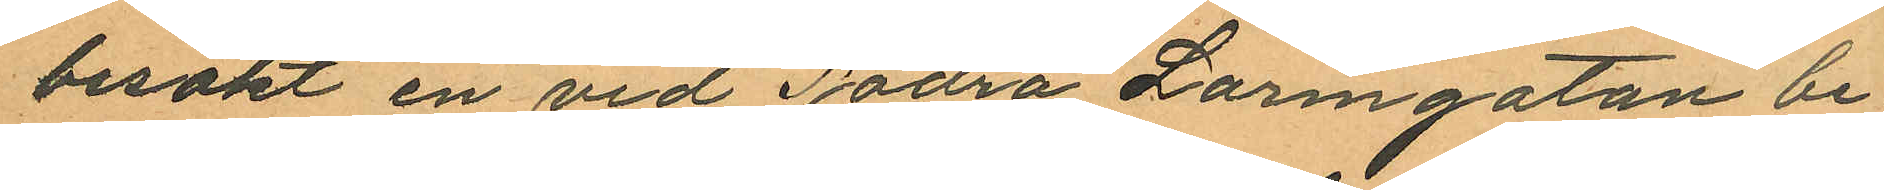besökt en vid Södra Larmgatan be¬
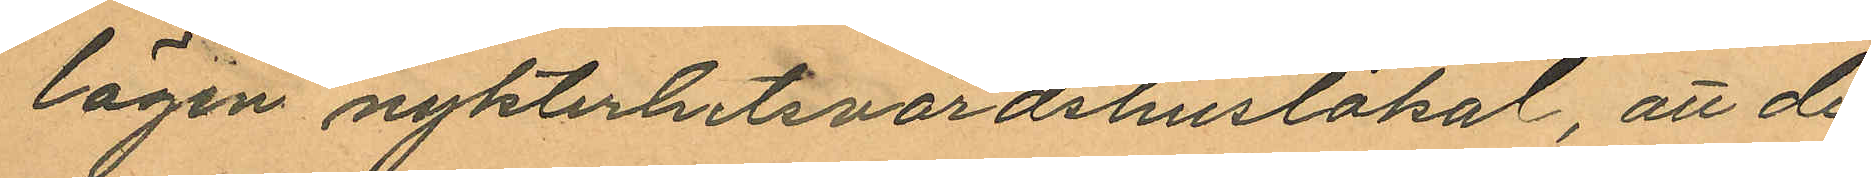lägen nykterhetsvärdshuslokal, att de
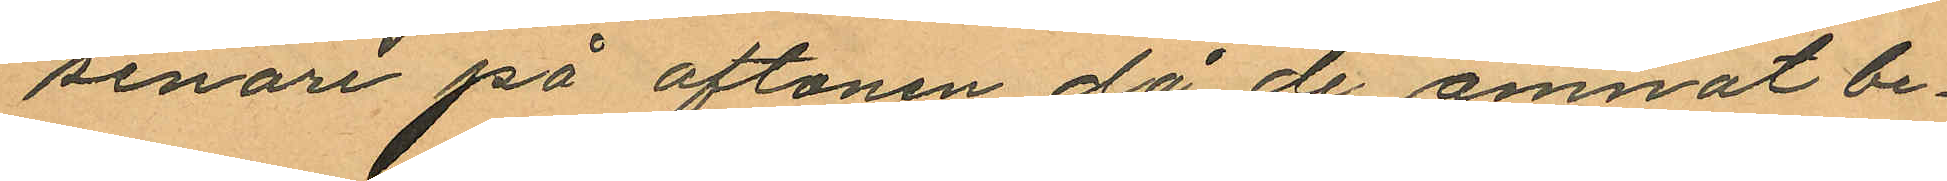senare på aftonen då de ämnat be¬
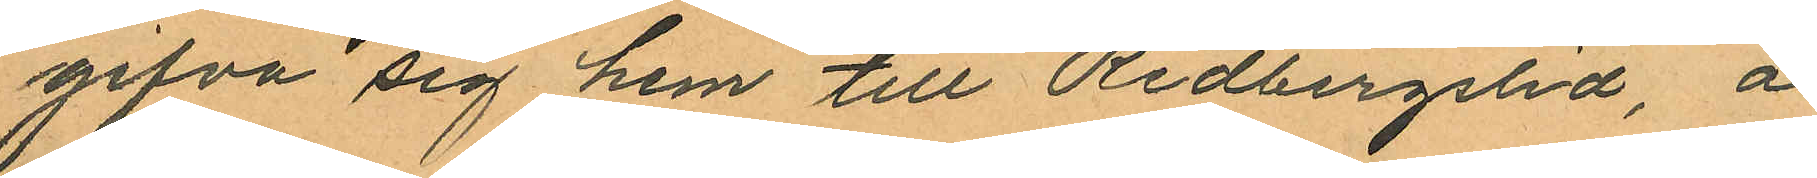gifva sig hem till Redbergslid, å
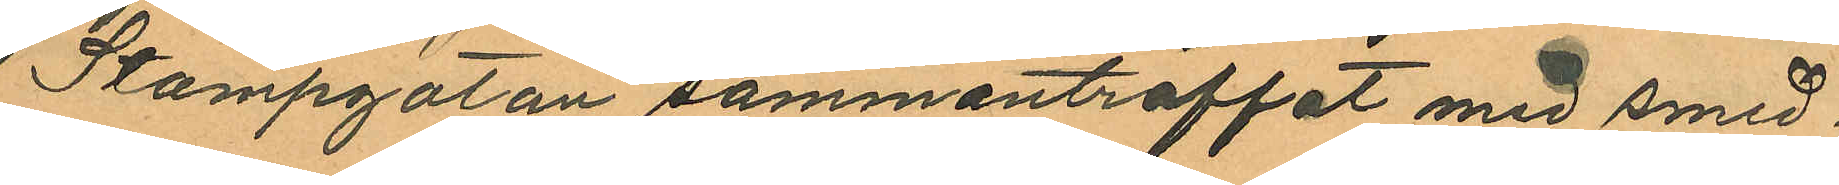Stampgatan sammanträffat med smed¬
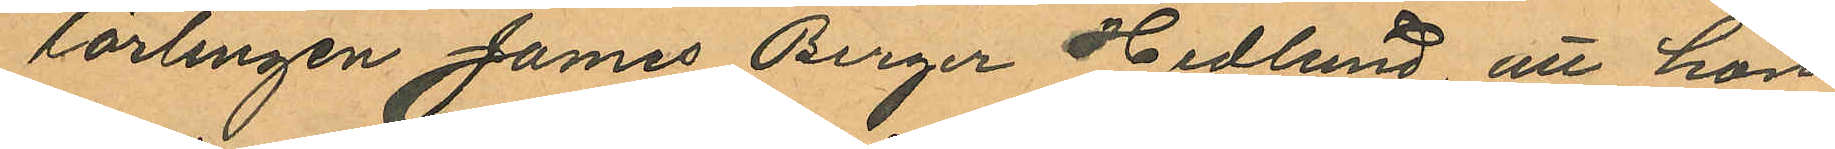lärlingen James Birger Hedlund, att hon
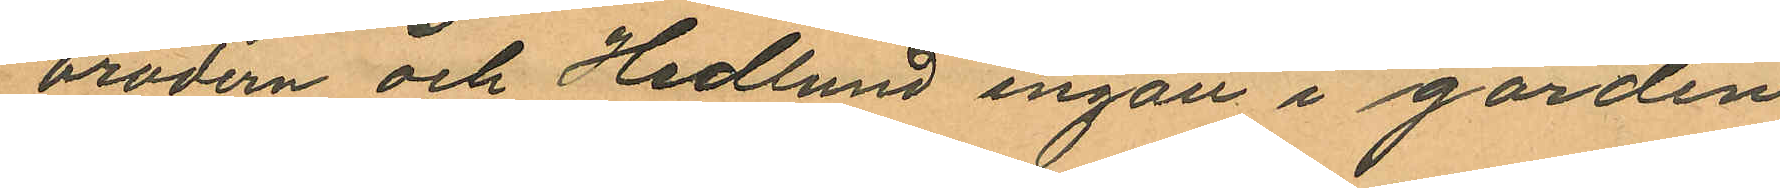brodern och Hedlund ingått i gården
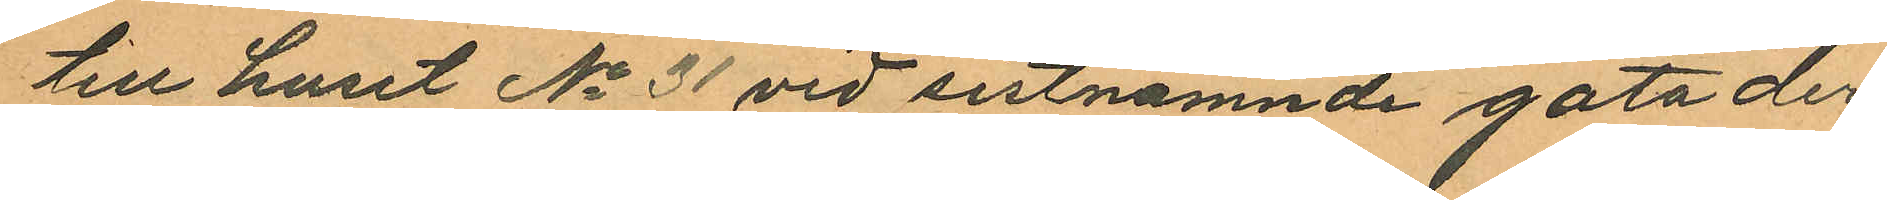till huset No 31 vid sistnämnde gata der
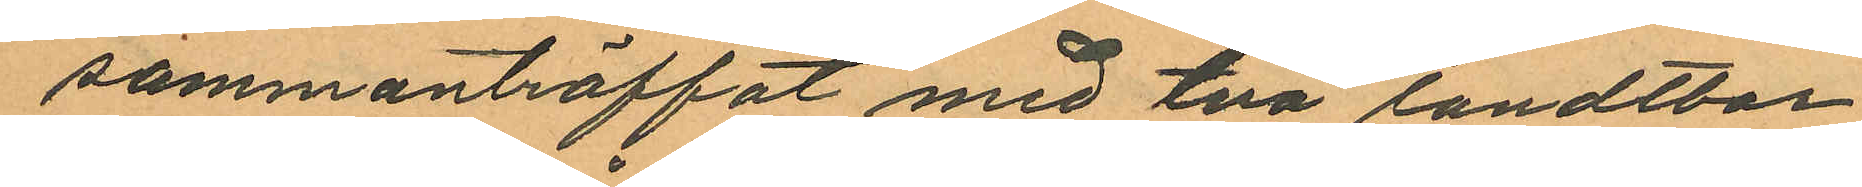sammanträffat med två landtbor
